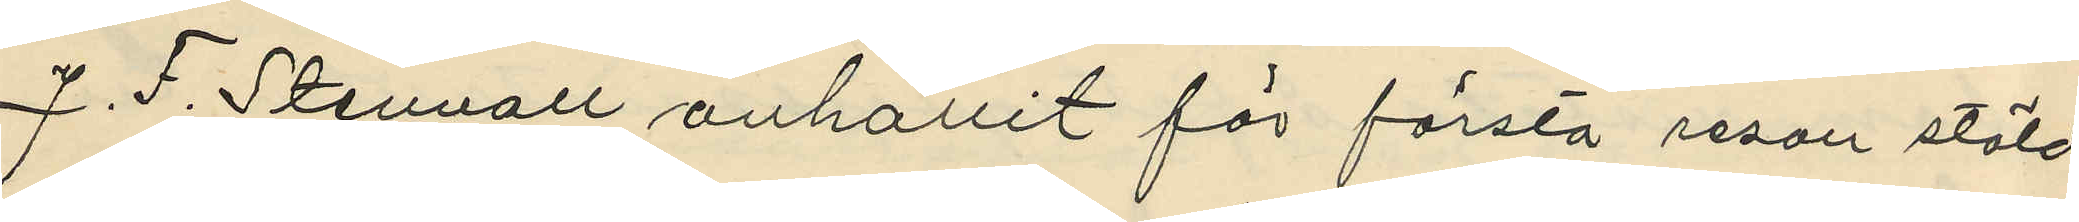J. F. Stenvall anhållit för första resan stöld
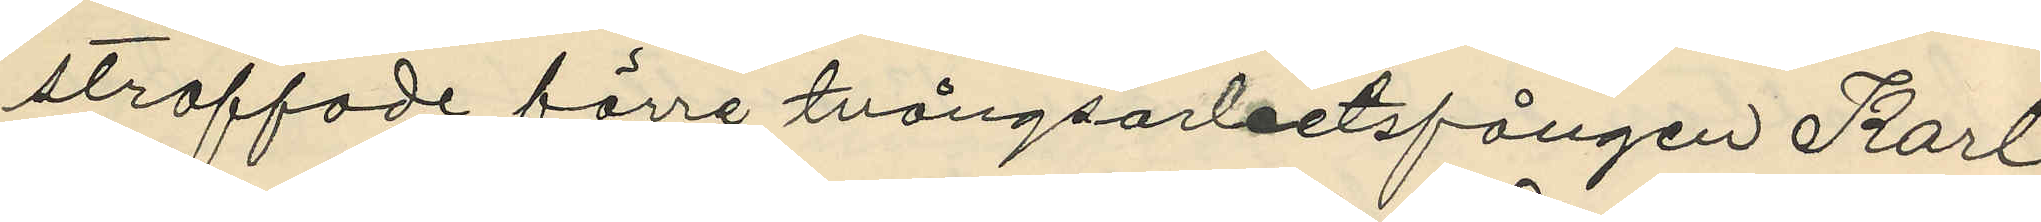straffade förre tvångsarbetsfången Karl
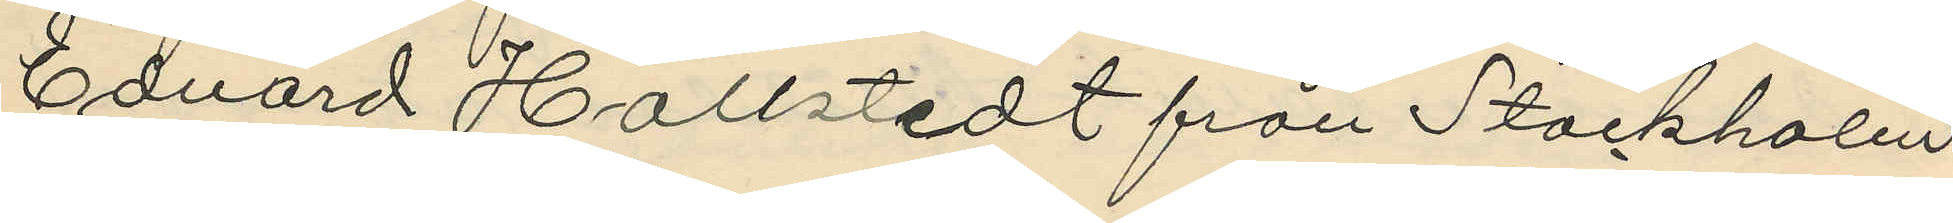Edvard Hallstedt från Stockholm
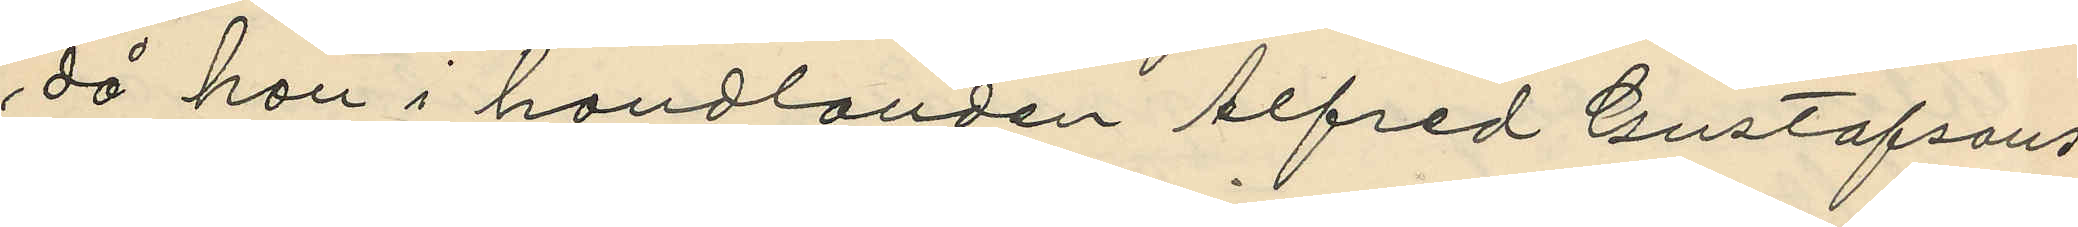då han i handlanden Alfred Gustafsons
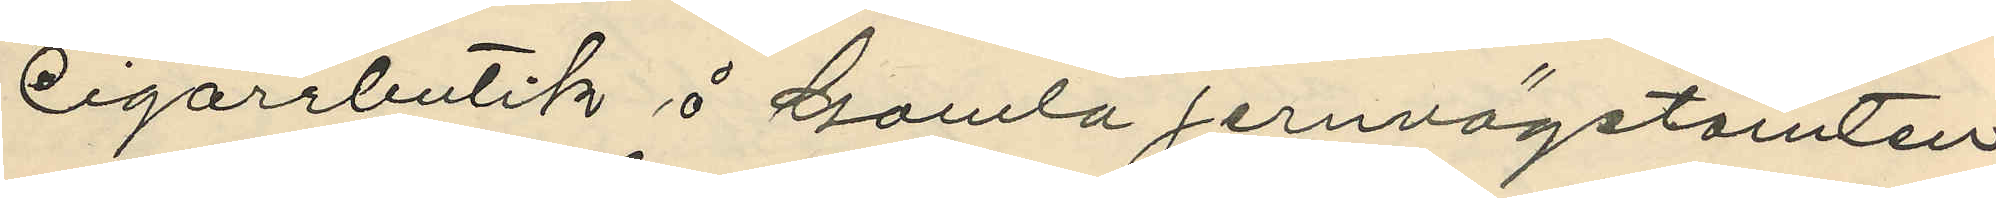Cigarrbutik å Gamla jernvägstomten
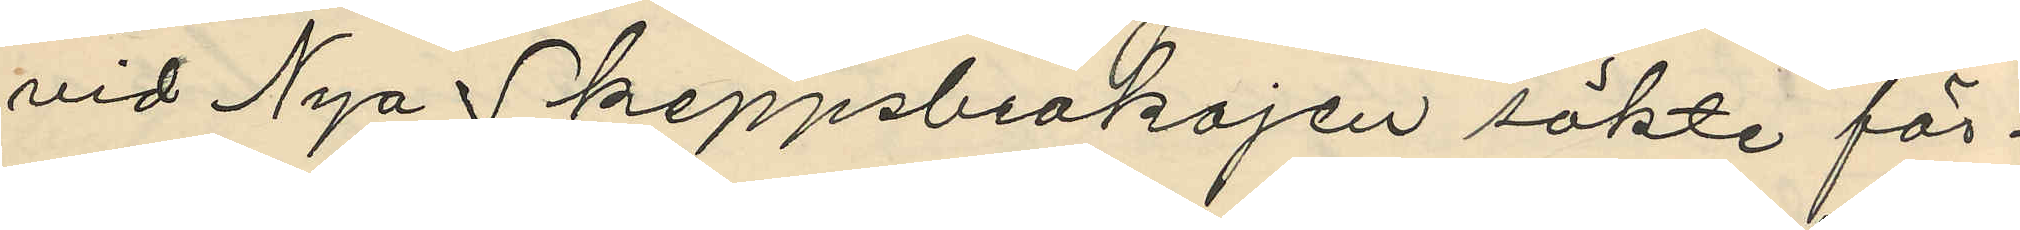vid Nya Skeppsbrokajen sökte för¬
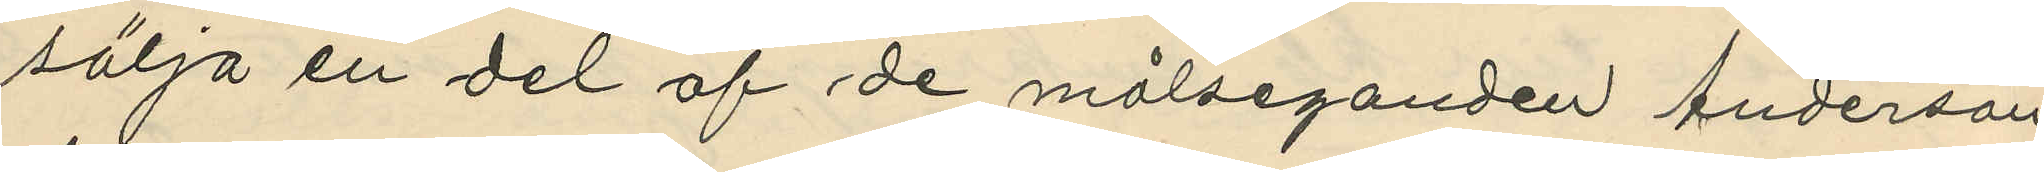sälja en del af de målseganden Anderson
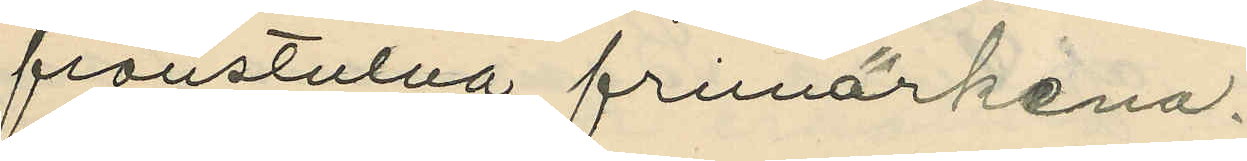frånstulna frimärkena.
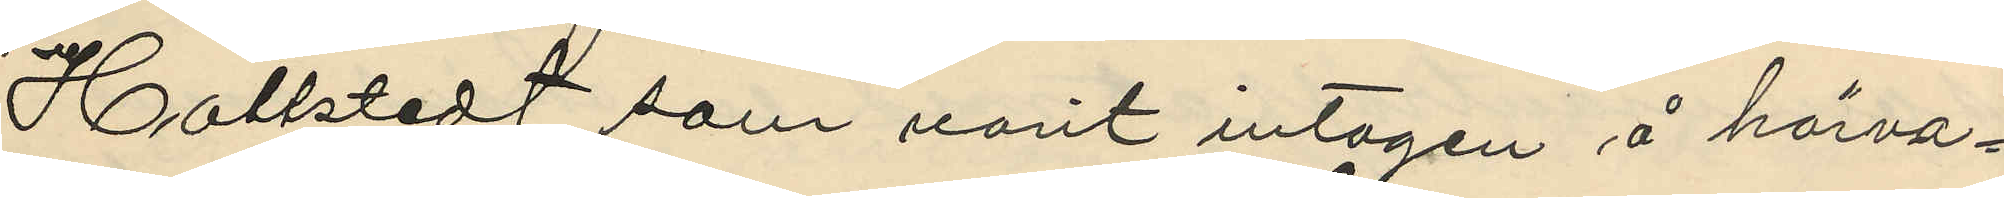Hallstedt, som varit intagen å härva¬
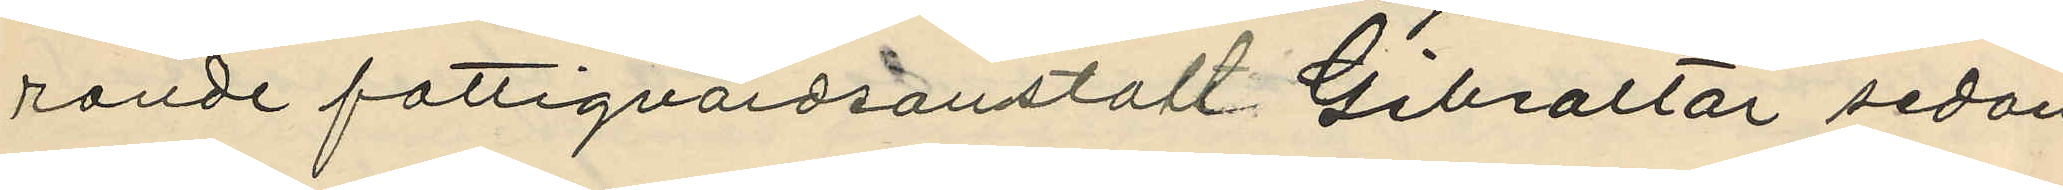rande fattigvårdsanstalt Gibraltar sedan
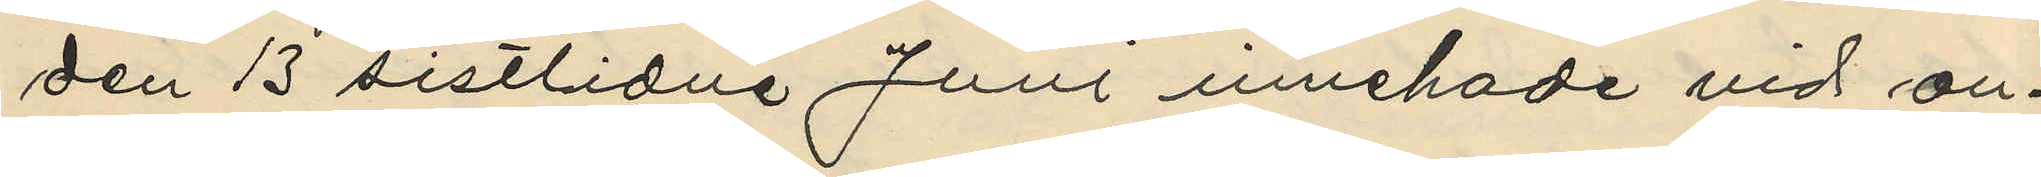den 13 sistlidne Juni innehade vid an¬
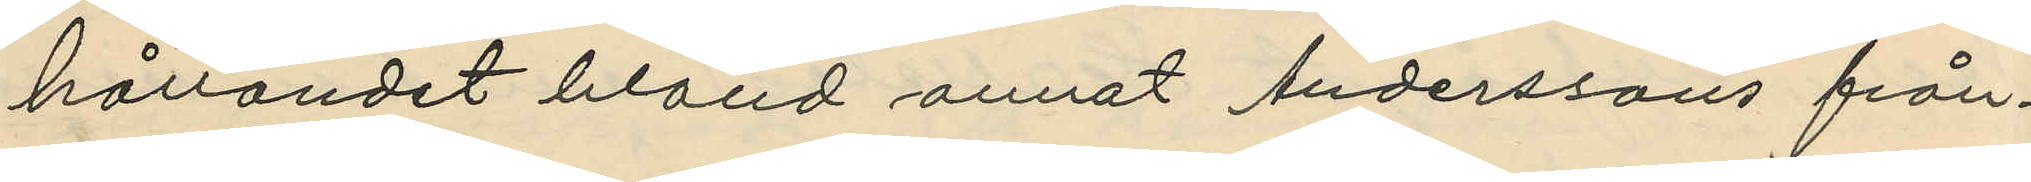hållandet bland annat Anderssons från¬
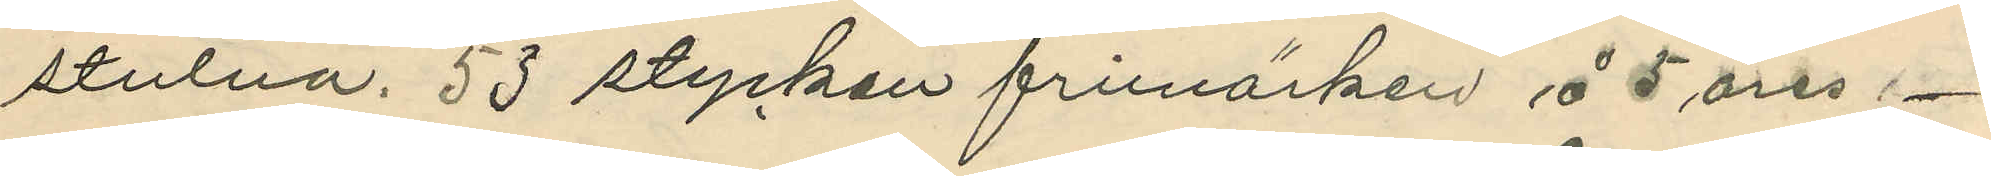stulna, 53 stycken frimärken å 5 öres
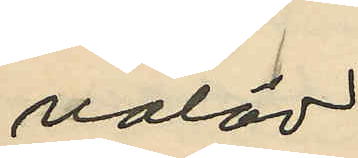valör
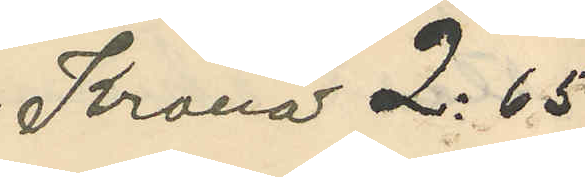Kronor 2:65
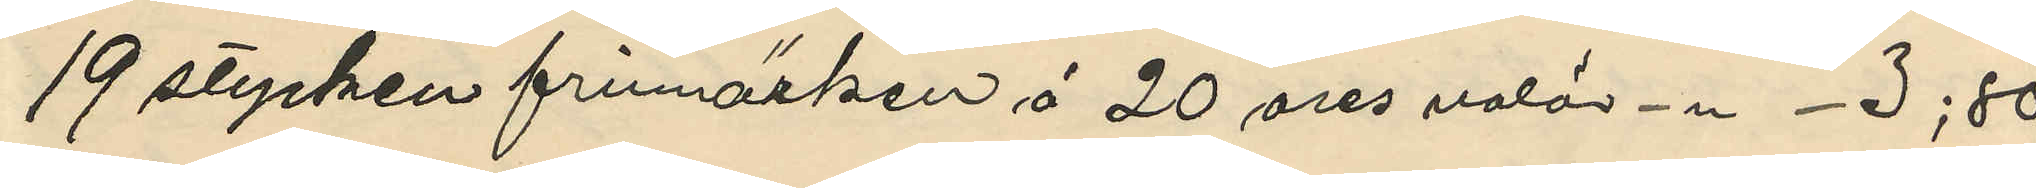19 stycken frimärken å 20 öres valör - " - 3;80
